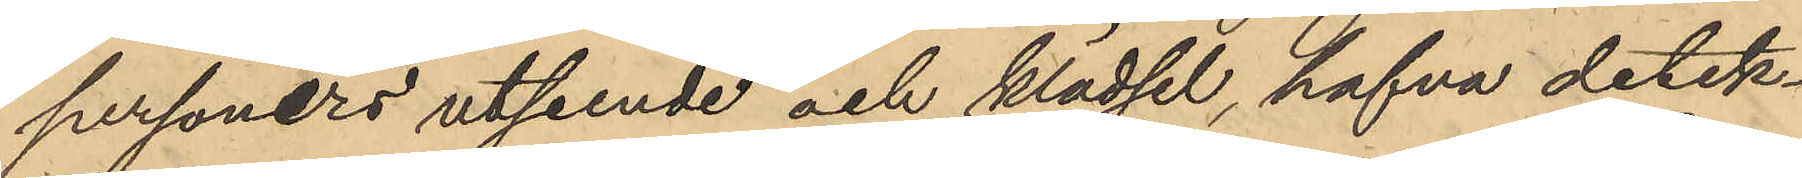personers utseende och klädsel, hafva detek¬
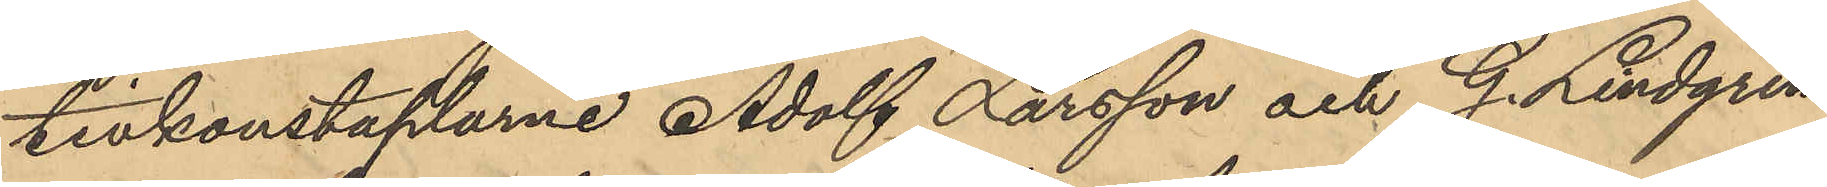tivkonstaplarne Adolf Larsson och G. Lindgren
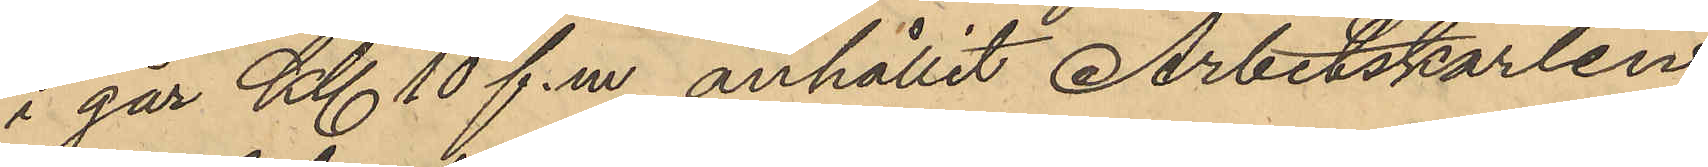i går Kl 10 f.m. anhållit Arbetskarlen
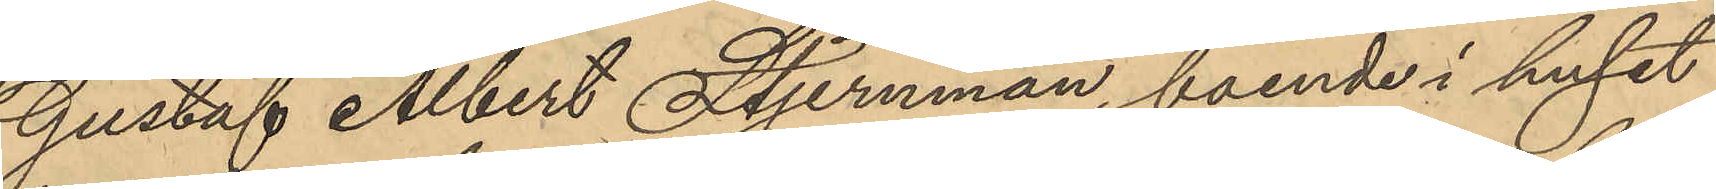Gustaf Albert Stjernman, boende i huset
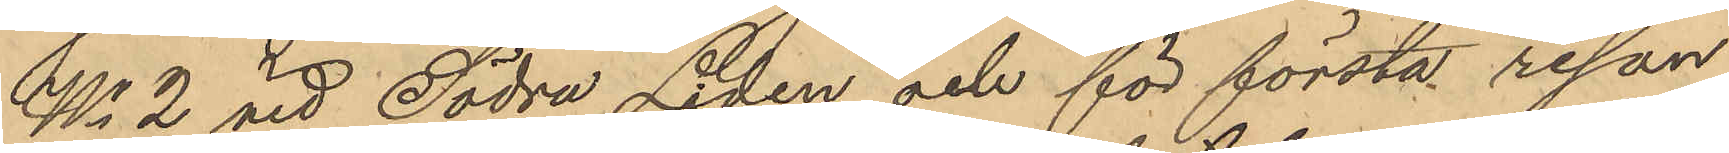No 2 vid Södra Liden, och för första resan
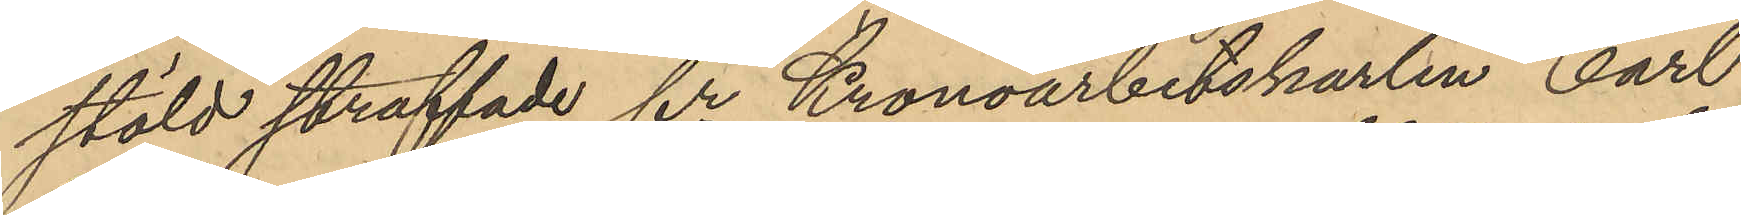stöld straffade fre Kronoarbetskarlen Carl
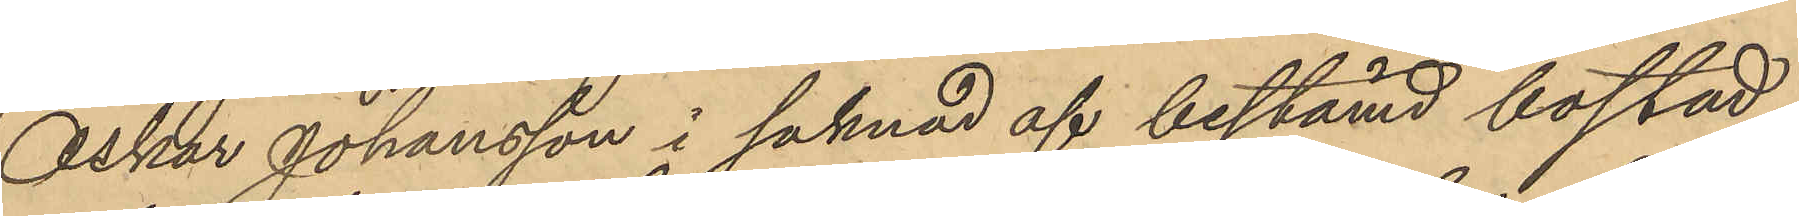Oskar Johansson i saknad af bestämd bostad;
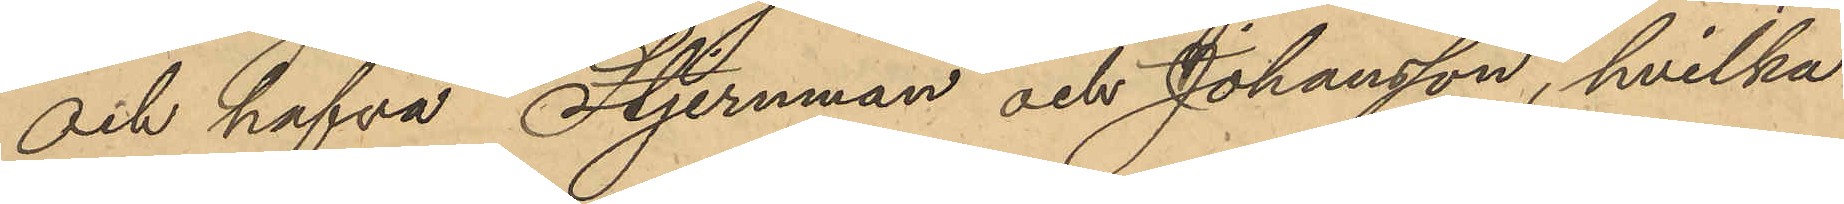och hafva Stjernman och Johansson, hvilka
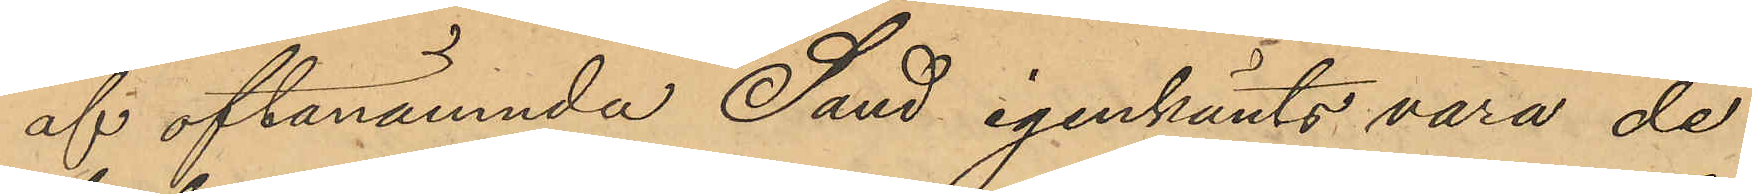af oftanämnda Sand igenkänts vara de
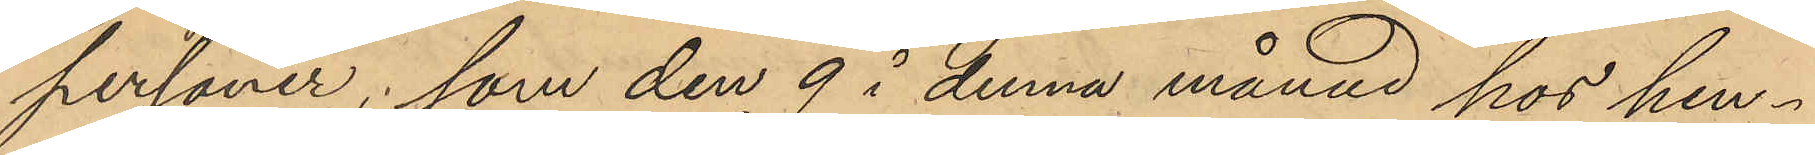personer, som den 9 i denna månad hos hen¬
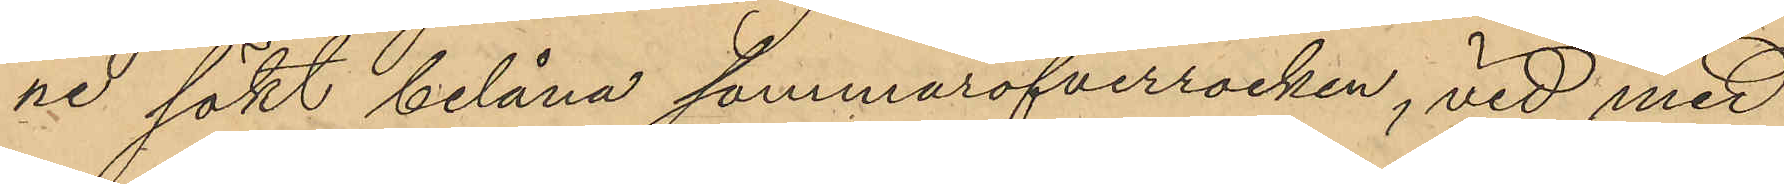ne sökt belåna sommaröfverrocken, vid med
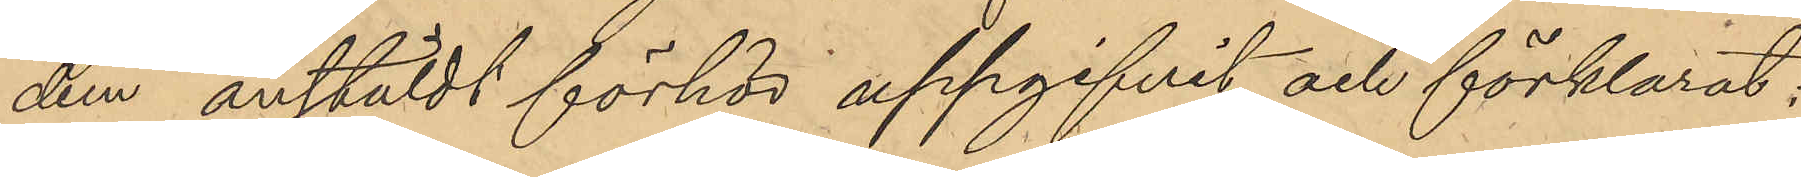dem anstäldt förhör uppgifvit och förklarat:
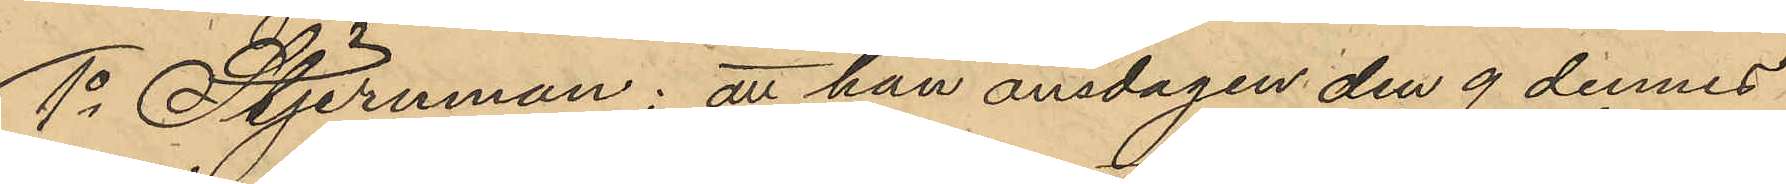1o Stjernman; att han onsdagen den 9 dennes
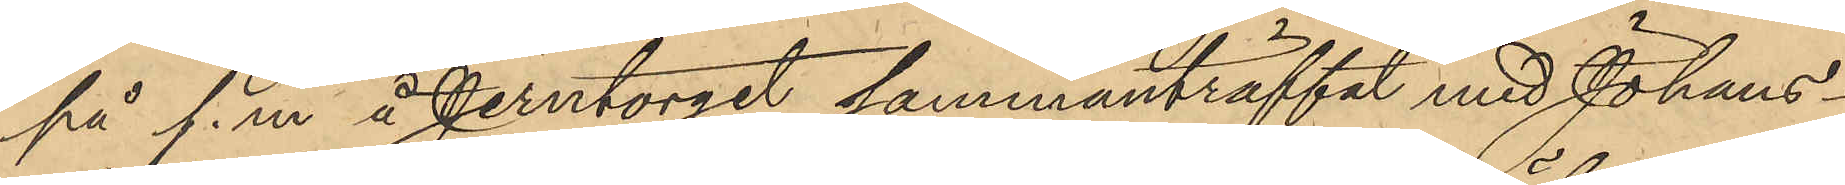på f. m. å Jerntorget sammanträffat med Johans¬
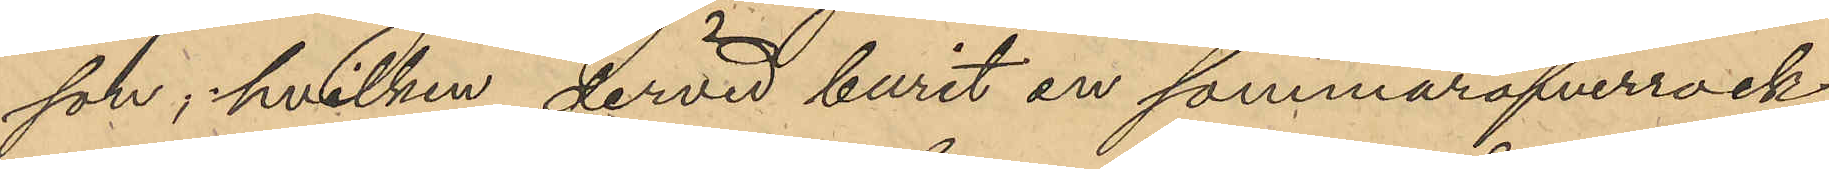son, hvilken dervid burit en sommaröfverrock
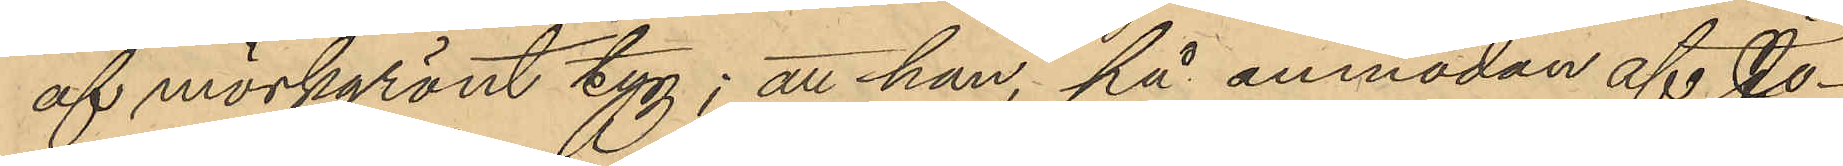af mörkgrönt tyg; att han, på anmodan af Jo¬
